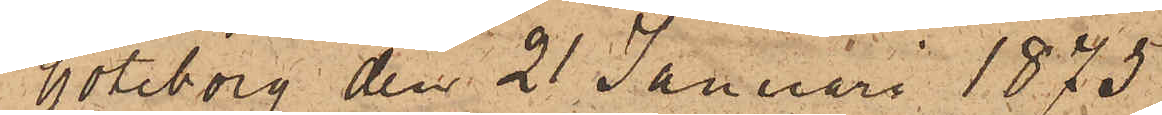Göteborg den 21 Januari 1875.
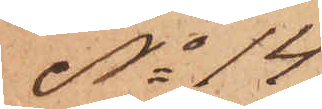No 14
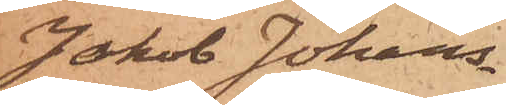Jakob Johans¬
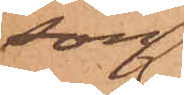son
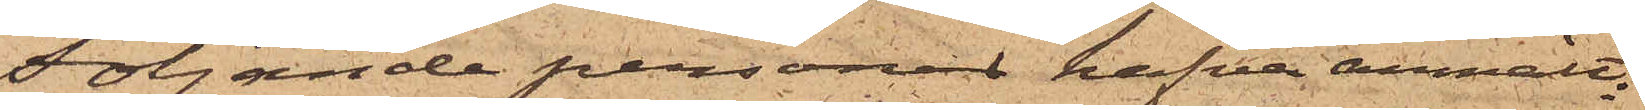Följande personer hafva anmält:
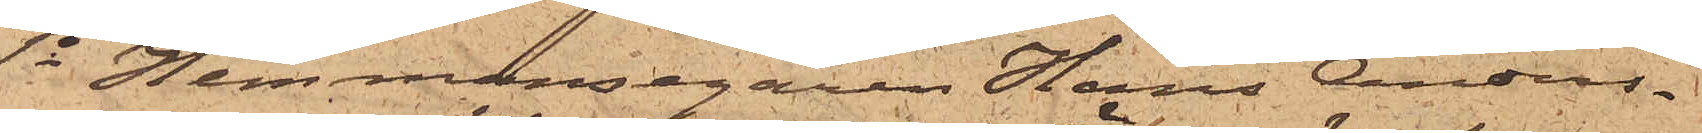1o Hemmansegaren Hans Anders¬
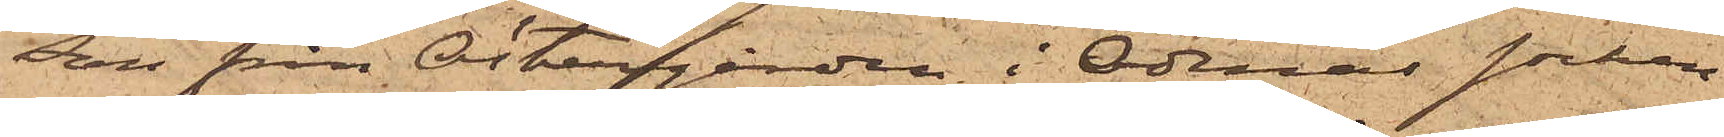son från Östergården i Ödenäs socken
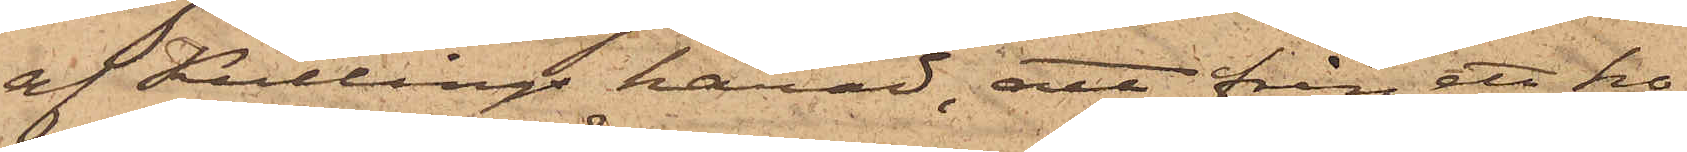af Kullings härad, att från ett ho¬
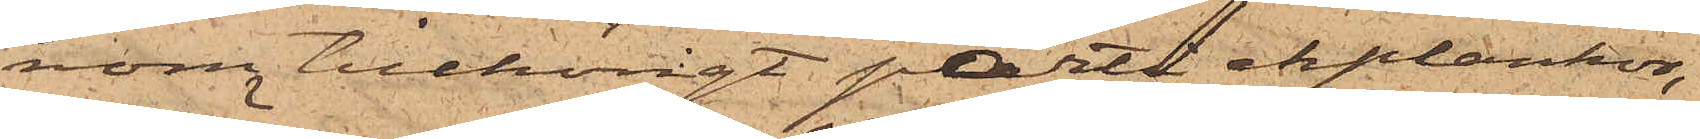nom tillhörigt parti ekplankor,
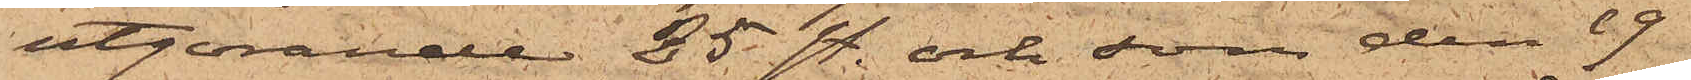utgörande 25 st. och som den 19
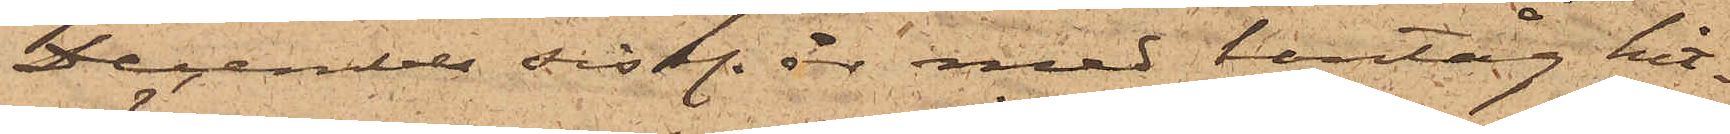December sistl. år med bantåg hit¬
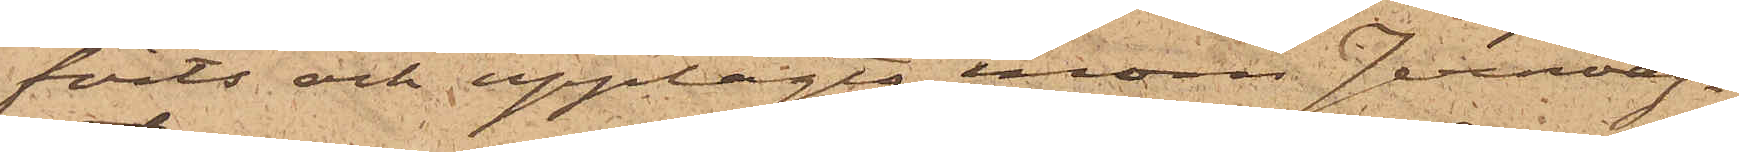förts och upplagts inom Jernväg¬
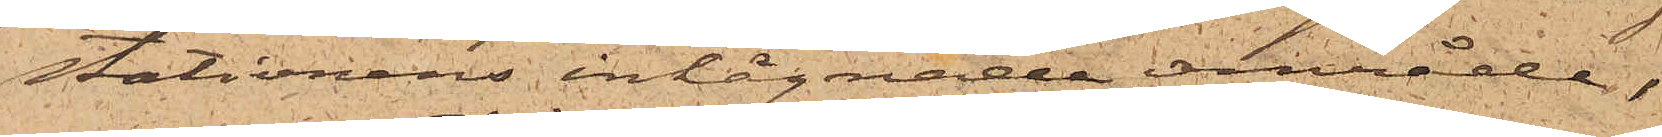stationens inhägnade område,
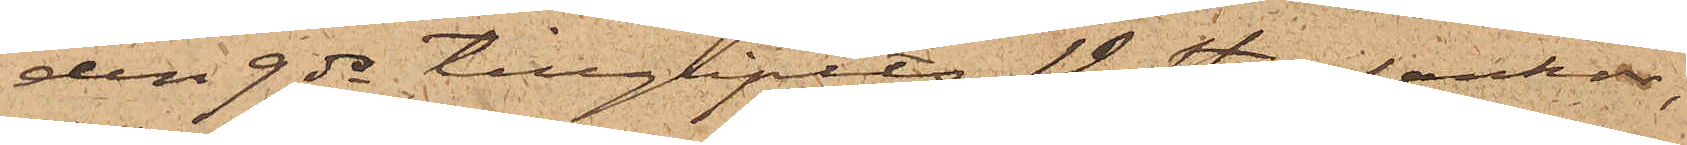den 9 ds tillgripits 12 st. plankor,
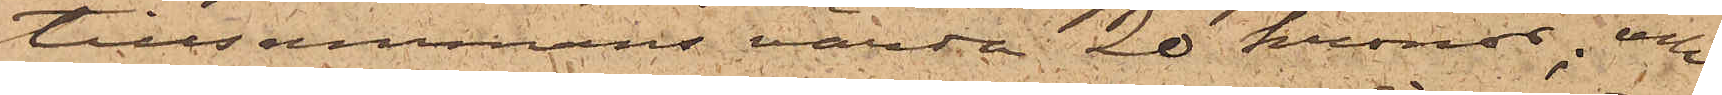tillsammans värde 20 kronor; och
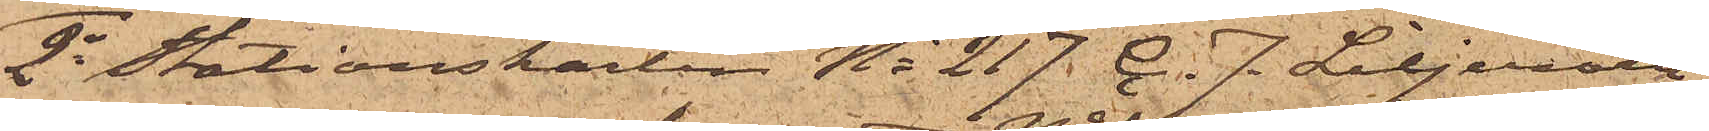2o Stationskarlen No 217. C. J. Liljeroth,
